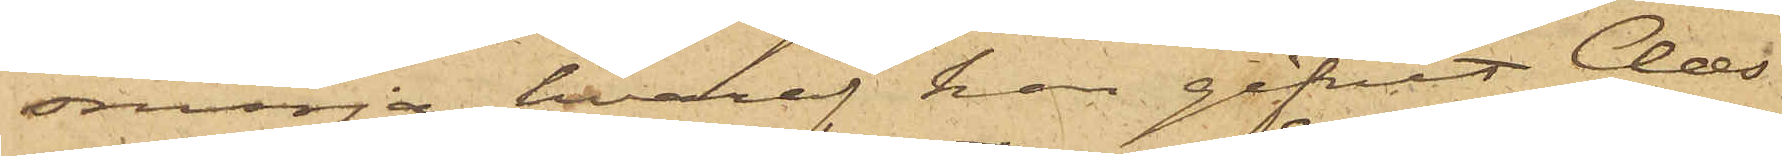smörja, hvaraf han gifvit Claes¬
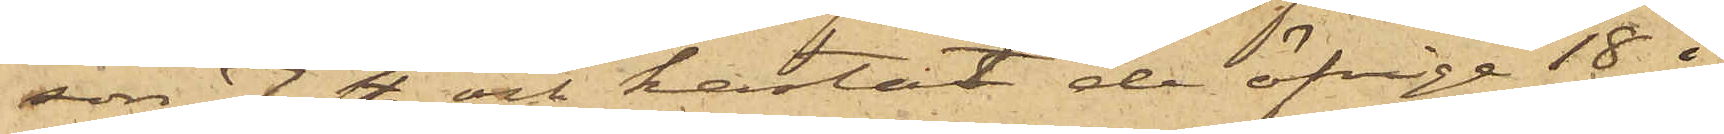son 7 st. och kastat de öfrige 18 i
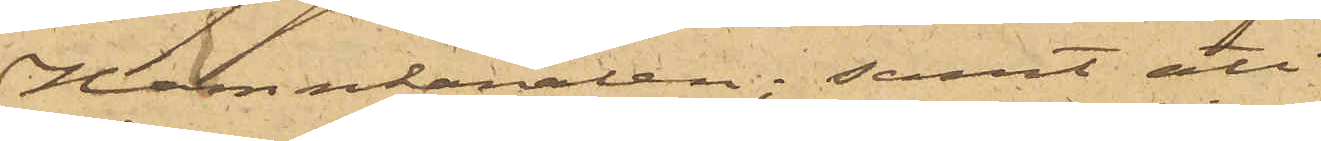Hamnkanalen; samt att
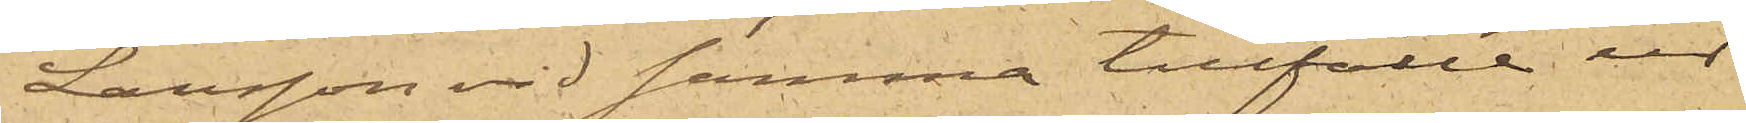Larsson vid samma tillfälle ur
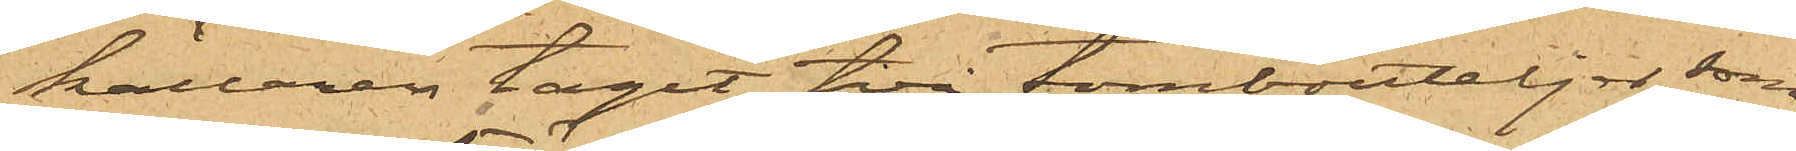källaren tagit två tombuteljer, som
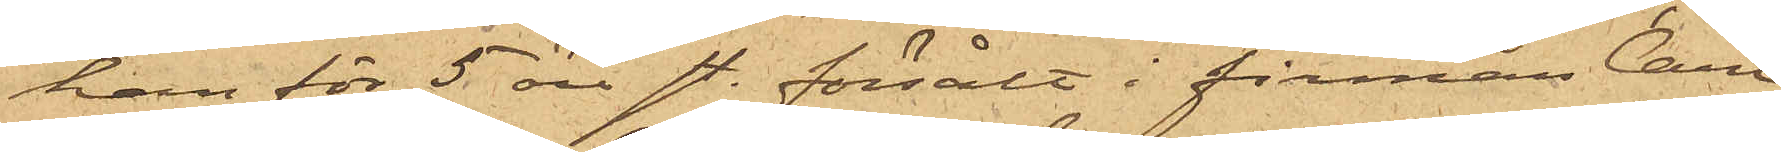han för 5 öre st. försålt i firman Carl
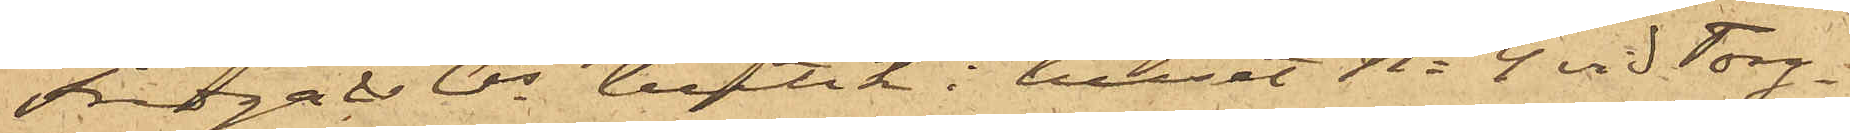Fredga & Cos butik i huset No 4 vid Torg¬
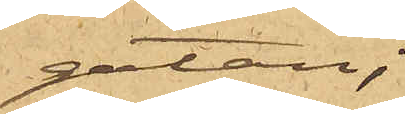gatan;
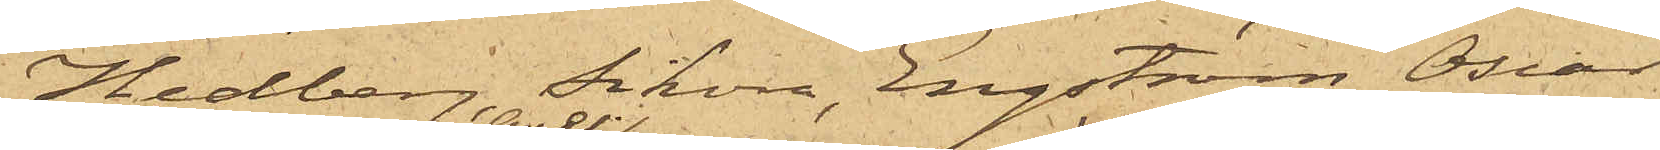Hedberg, Sikora, Engström, Oscar
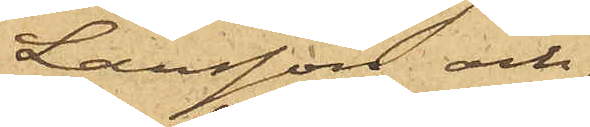Larsson och
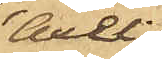Axel
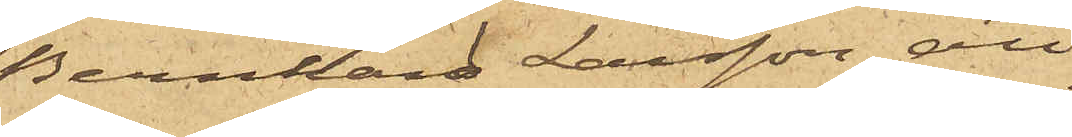Bernhard Larsson att
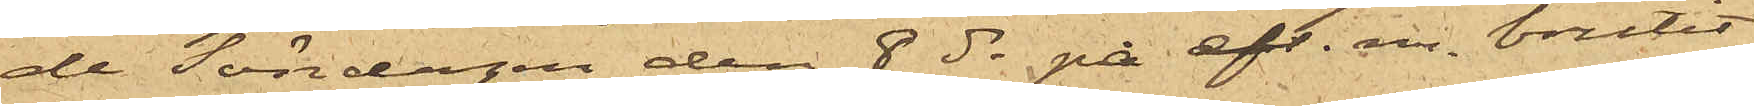de Söndagen den 8 ds på eft. m. brutit
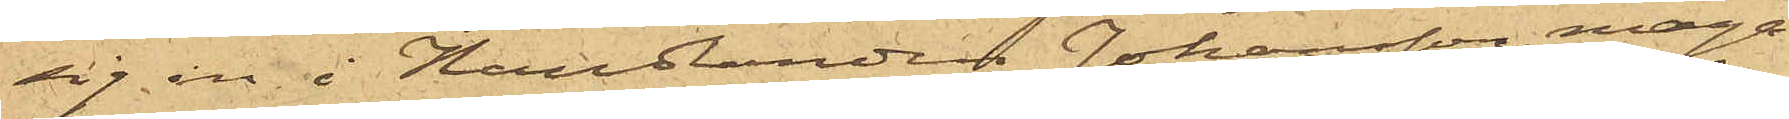sig in i Handlanden Johansson maga¬
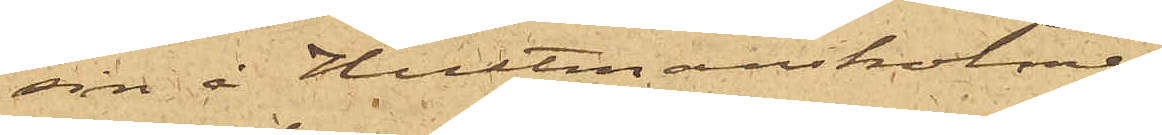sin å Hultmans holme;
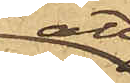att
